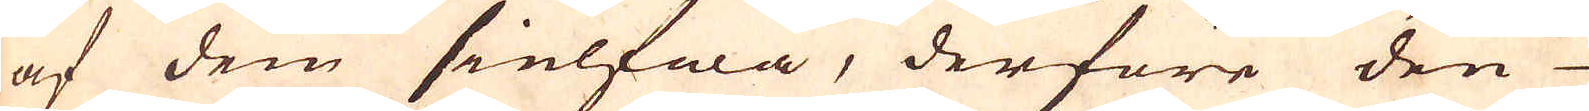af dem sielfwa, derföre den
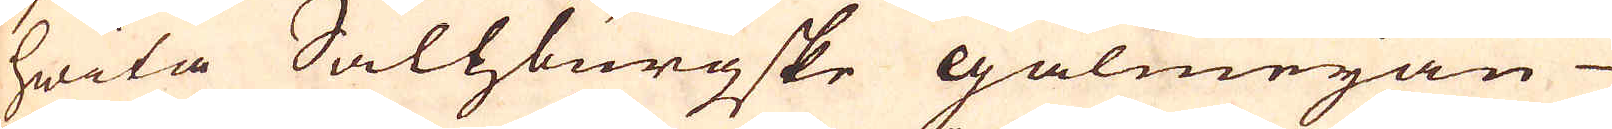hwita Salhburgske galmejan
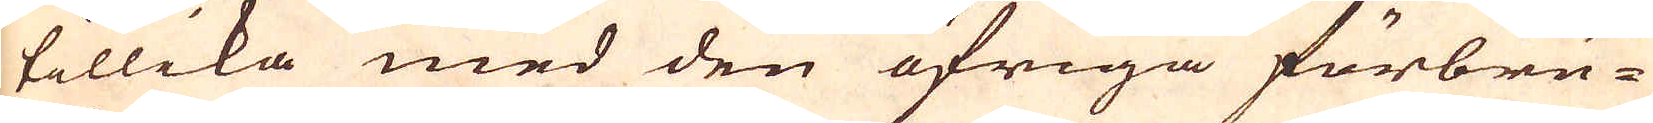tillika med den öfriga förbru-
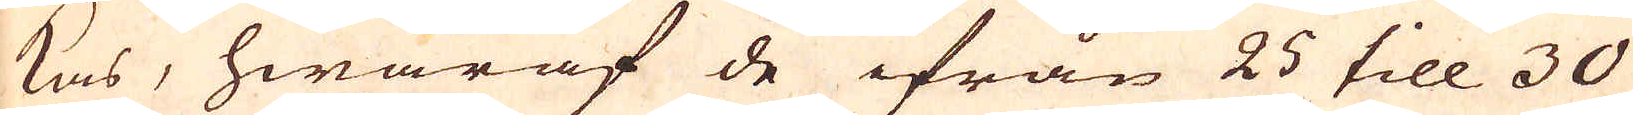kas, hwaraf de ifrån 25 till 30
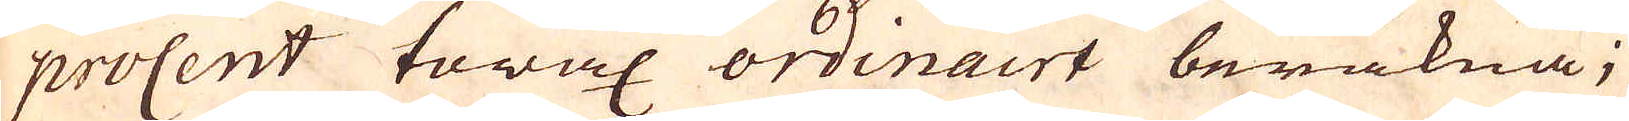procent towax ordinairt beräkna;
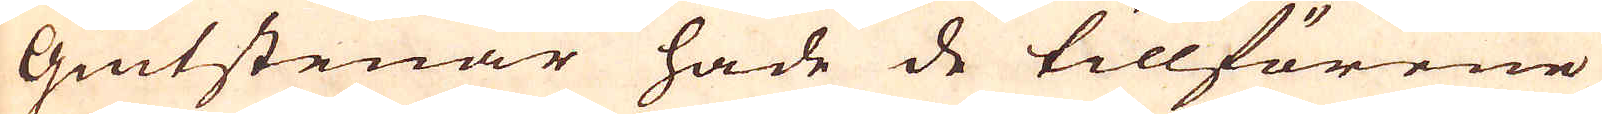Giutstenar hade de tillförene
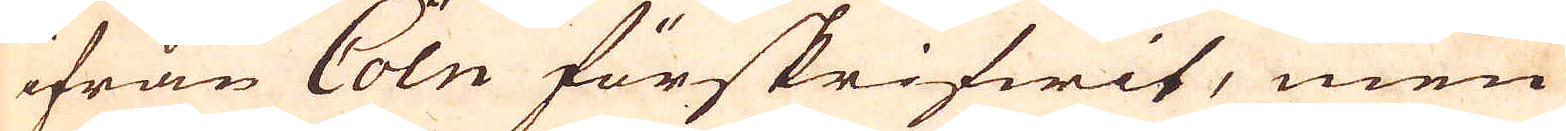ifrån Coln förskrifwit, men
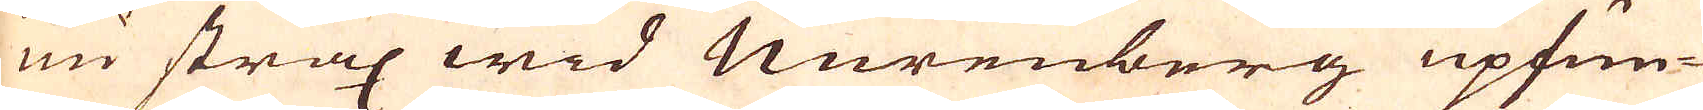nu strax wid Nurenberg upfun-
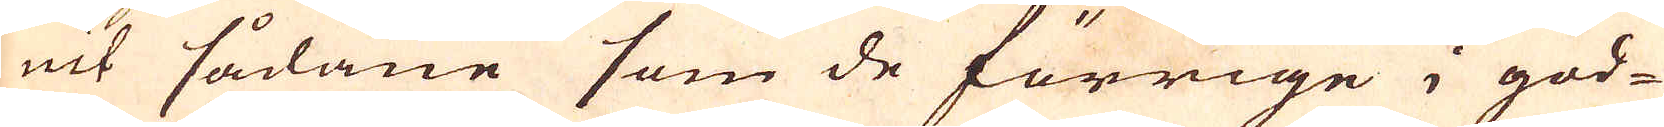nit sådane som de förrige i god-
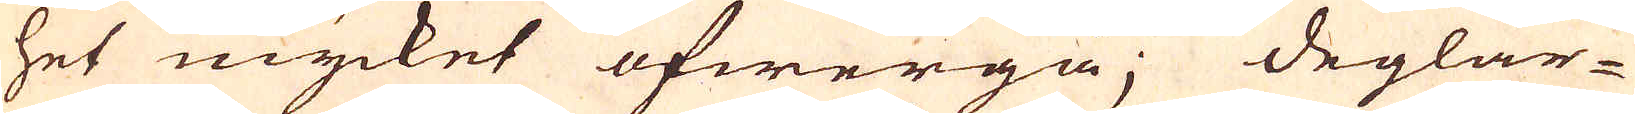het mycket öfwergå; deglar-
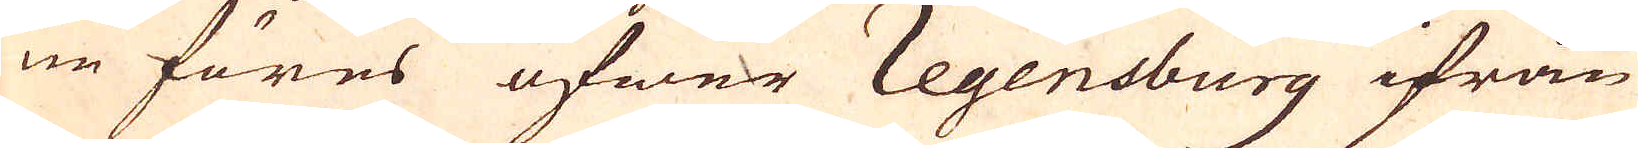ne föres öfwer Regensburg ifrån
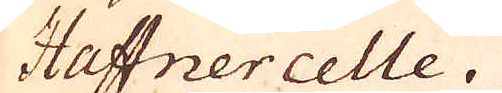Haftnercelle.
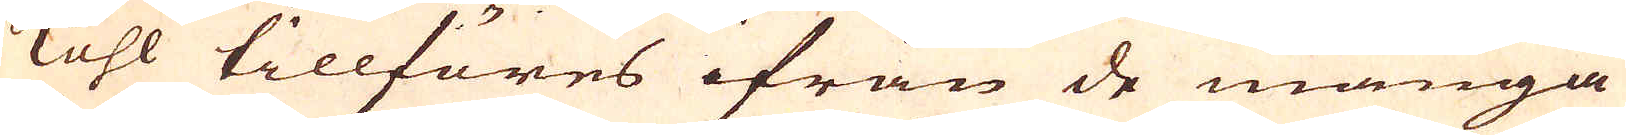Kohl tillföres ifrån de många
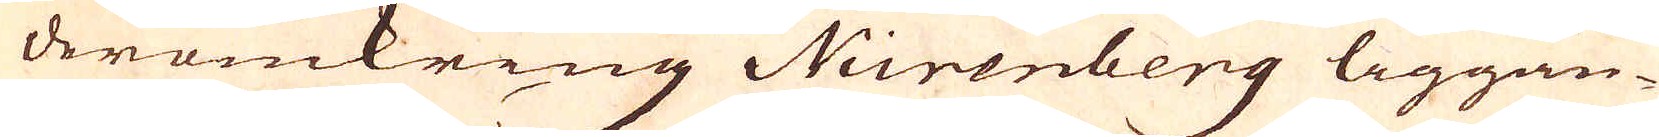deromkring Nurenberg liggan-
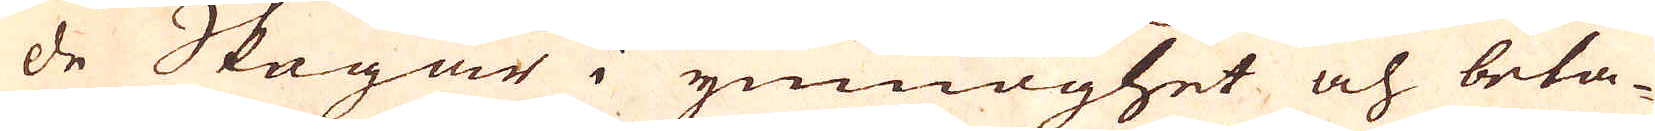de Skogar i ymnoghet och beta-
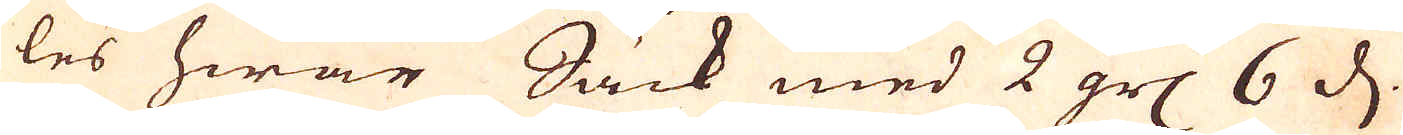les hwar Säck med 2 grs 6 d.
